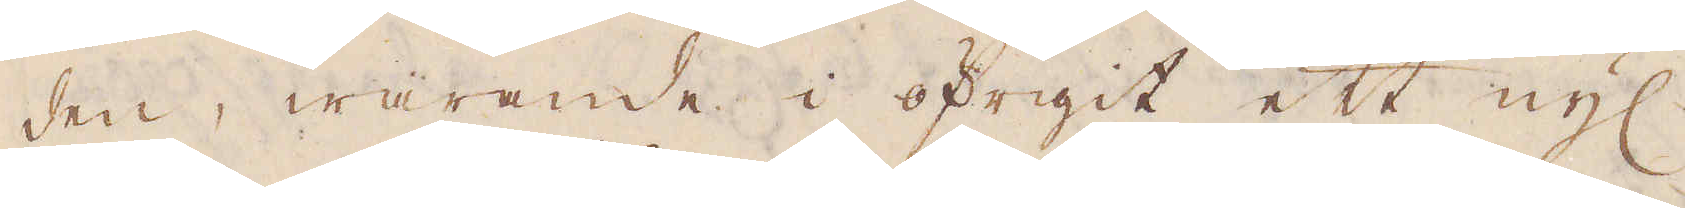den, warande i öfrigit ett nyl
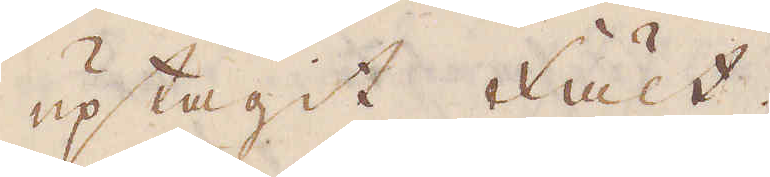uptagit fält.
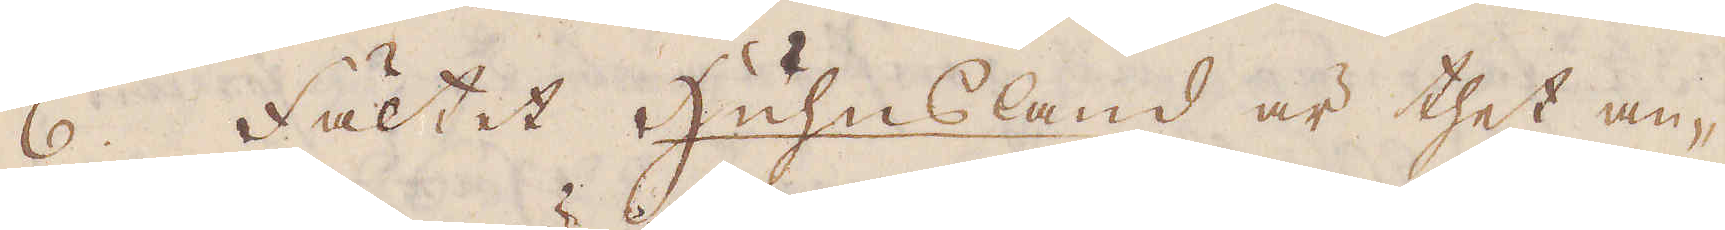6. Fältet Huhnsland är thet an-
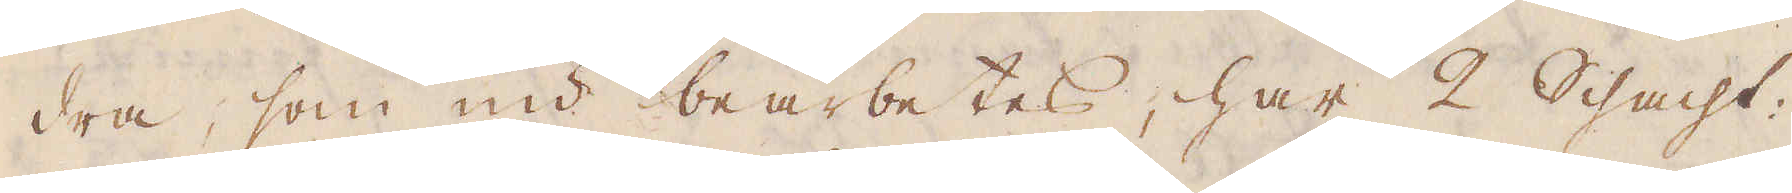dra, som nu bearbetas, har 2 Schacht:
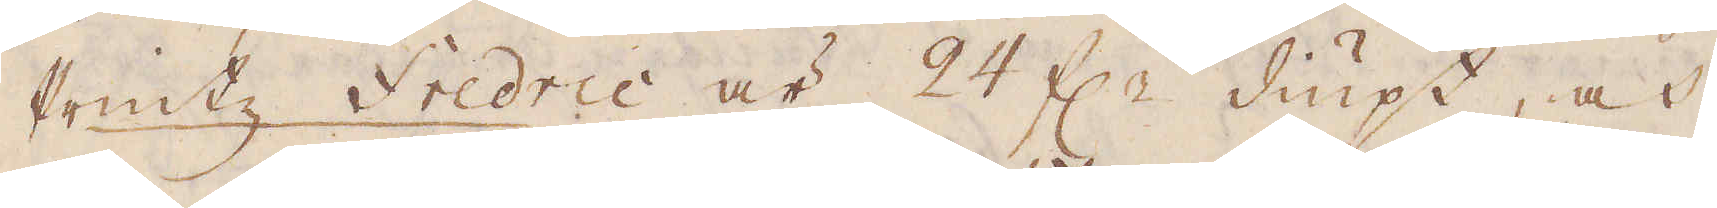Printz Fredric är 24 f:r diupt, och
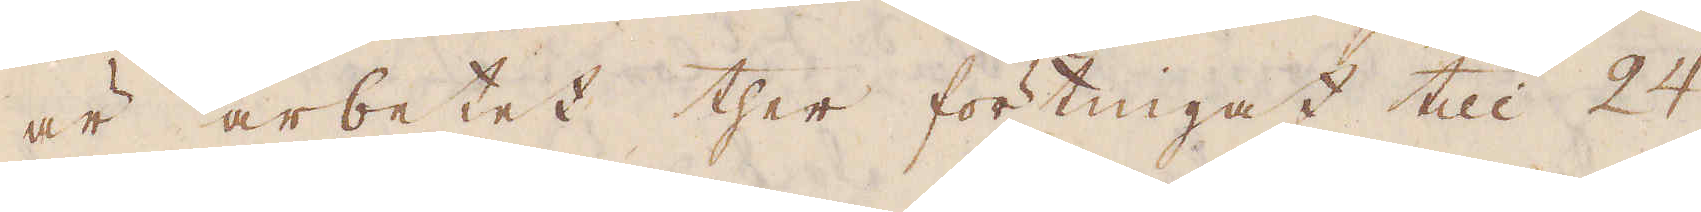är arbetet ther förtingatt till 24
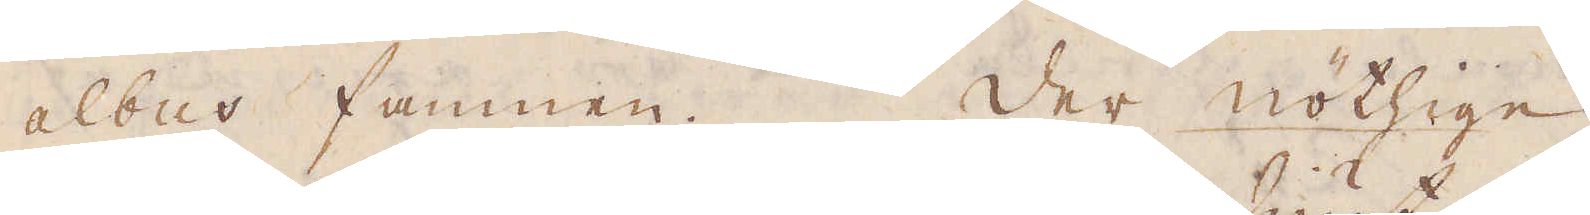albus famnen. der nöthige
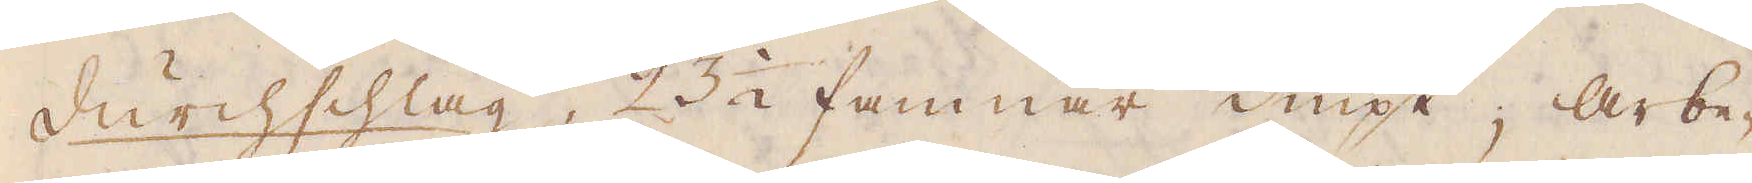Durchsschlag, 23 1/2 famnar diupt; arbe-
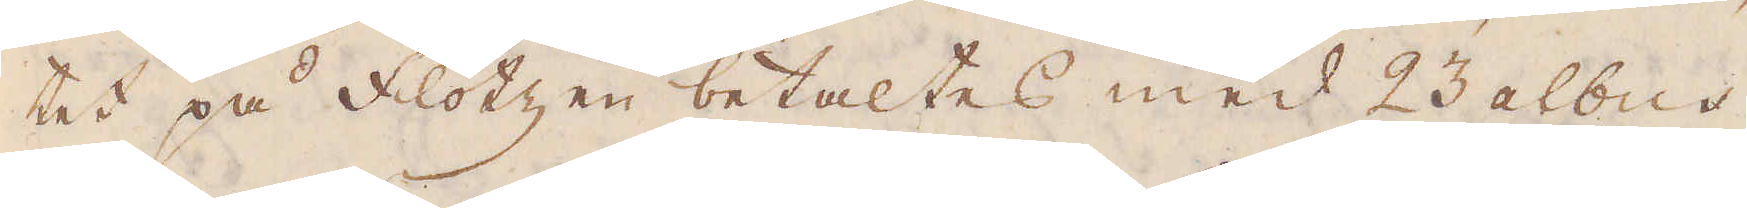tet på flötzen betaltes med 23 albus
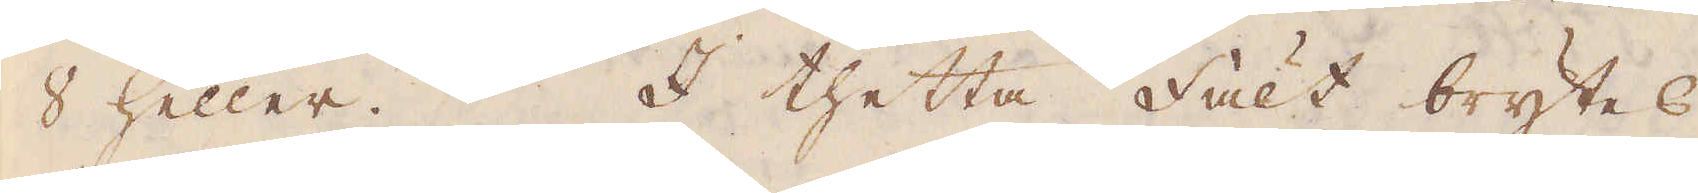8 heller. I thetta fält brytes.
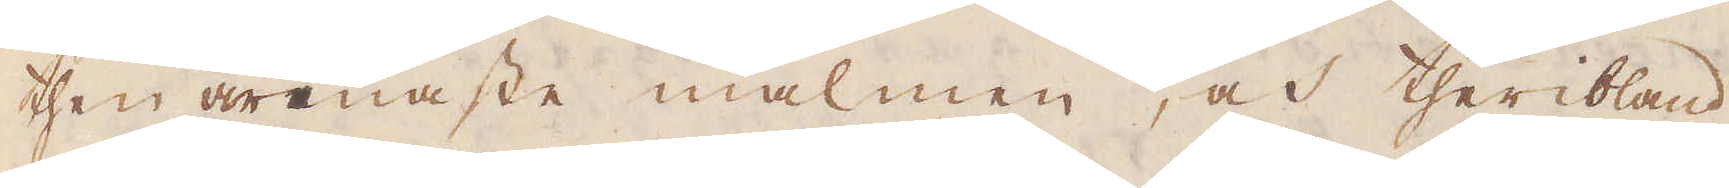then renaste malmen, och theribland
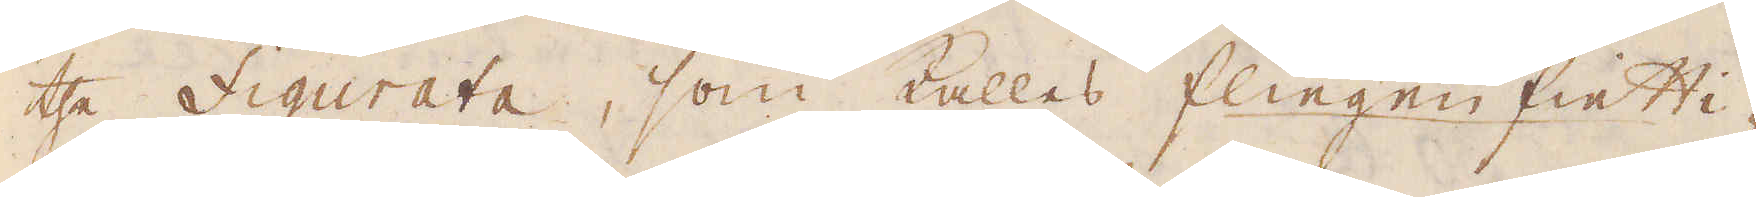the figurata, som kallas flingen fietti-
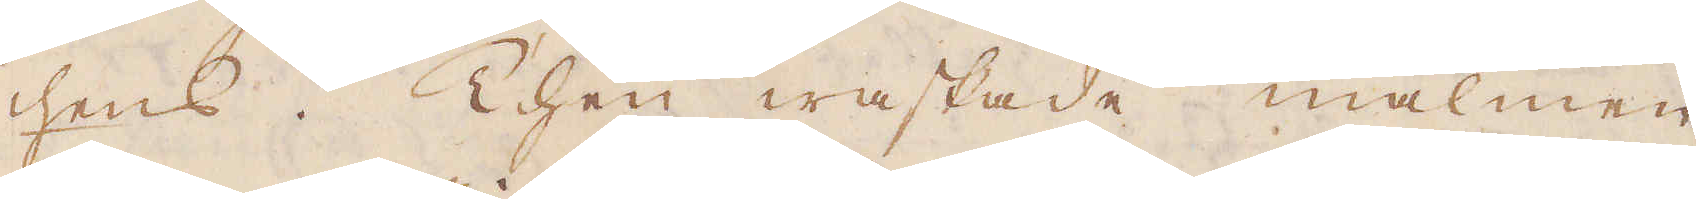hens. Then waskade malmen
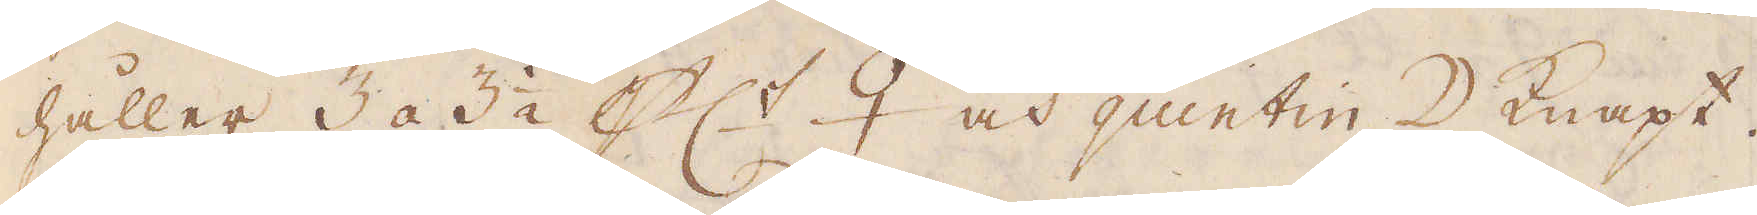håller 3 a 3 1/2 pc:t ♀ och quintin ☽ knapt.
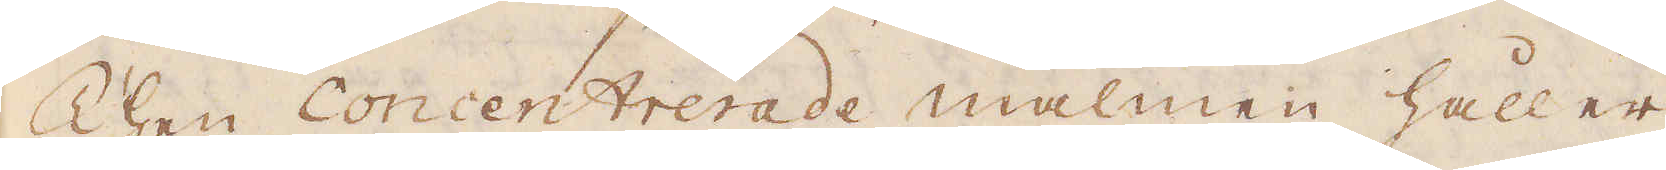Then concentrerade malmen håller
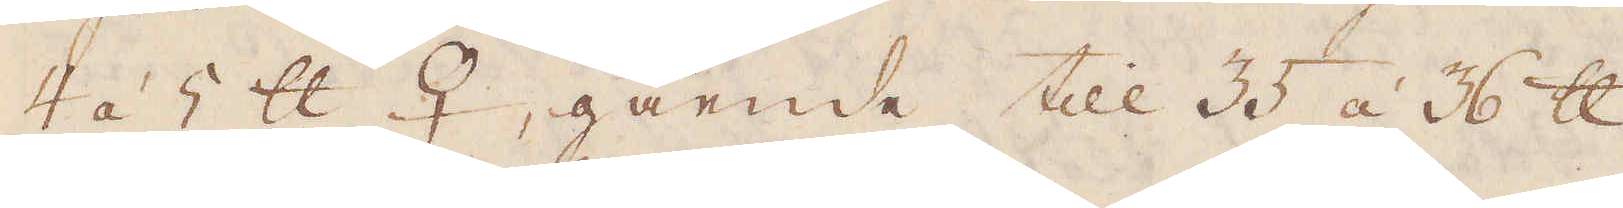4 á 5 skålpund ♀, gående till 35 á 36 skålpund
